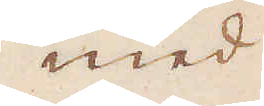med
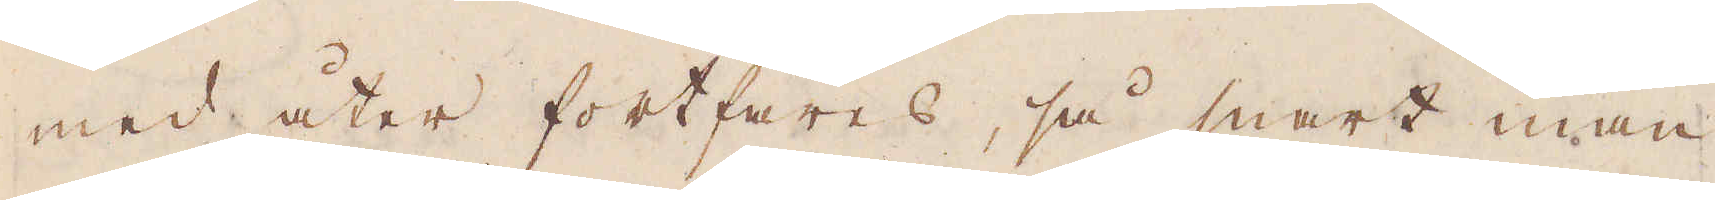med åter fortfares, så snart man
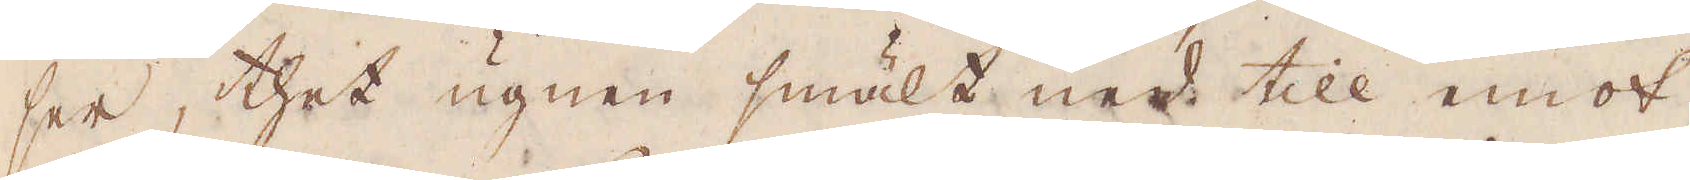ser, thet ugnen smält ned till emot
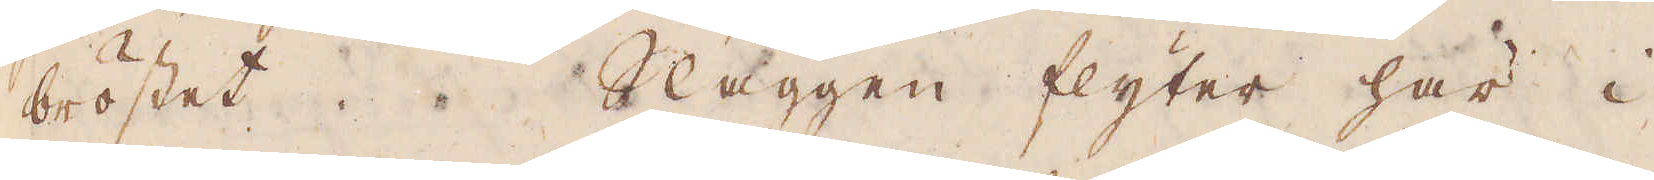bröstet. Slaggen flyter här i
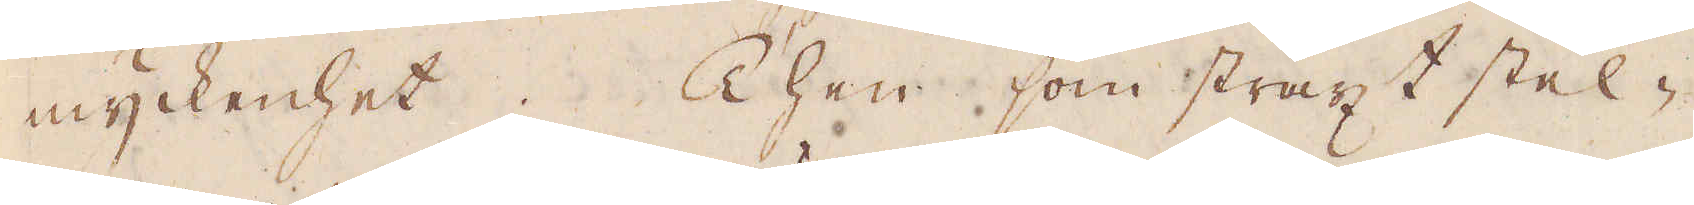myckenhet. Then som straxt stel-
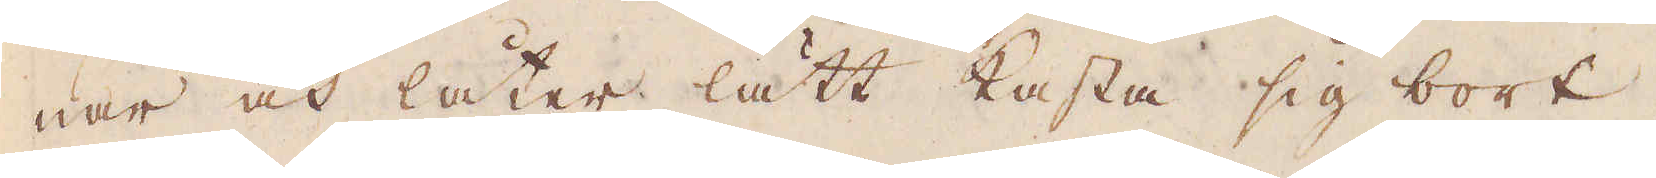nar och låter lätt kasta sig bort
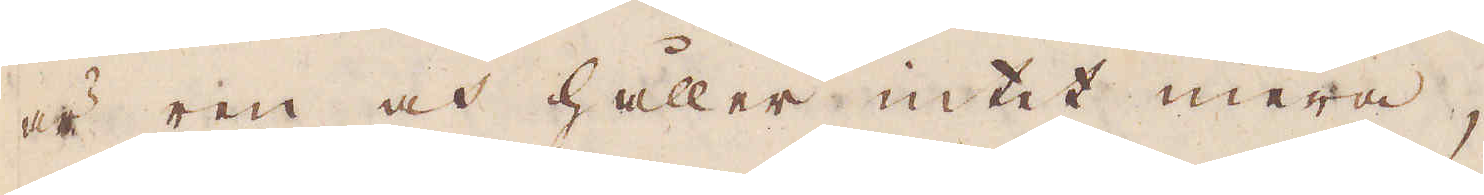är ren och håller intet mera,
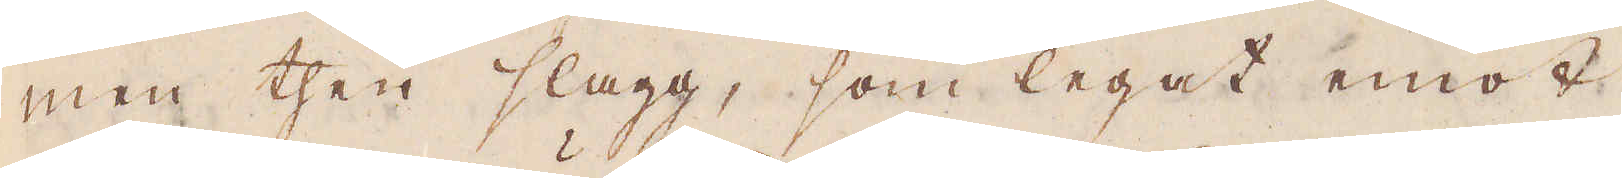men then slagg, som legat emot
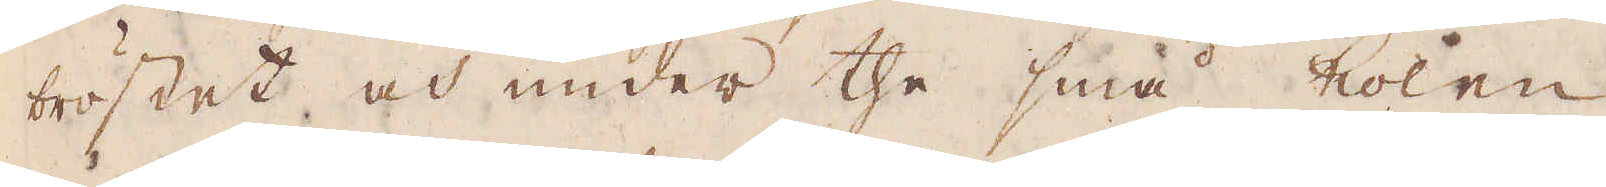bröstet och under the små kolen
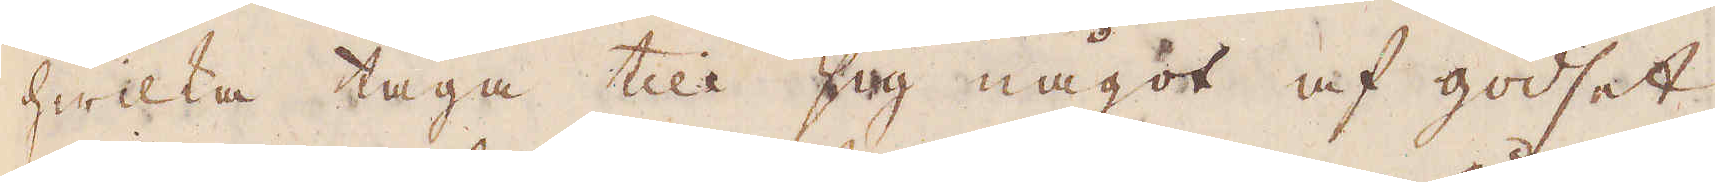hwilka taga till sig något af godset,
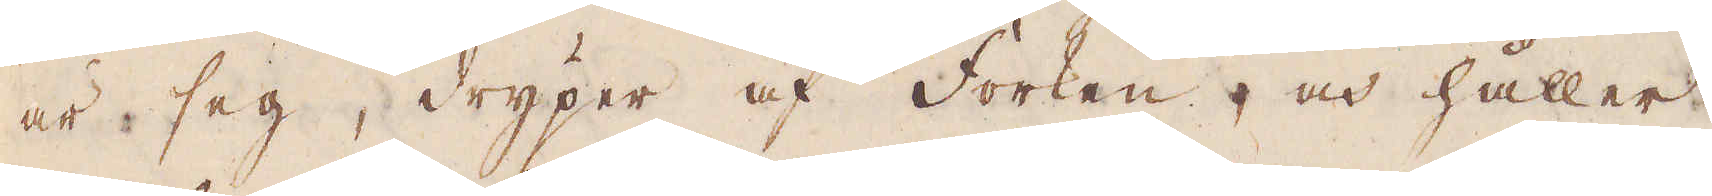är seg, dryper af Forken, och håller
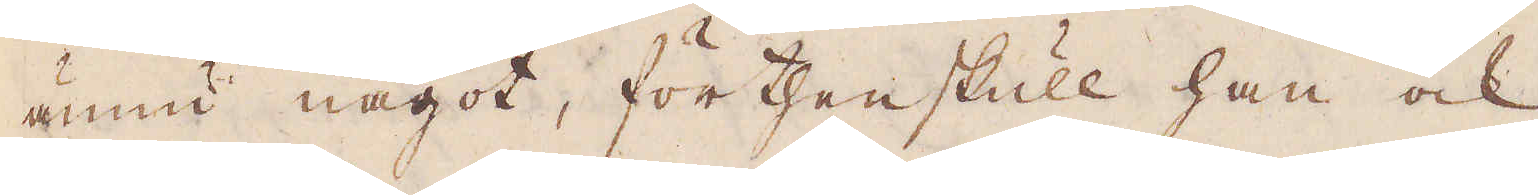ännu något, förthenskull han ock
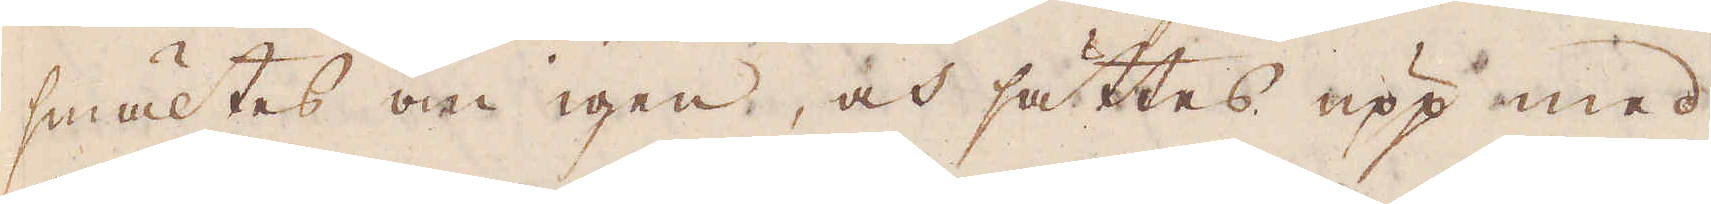smältes om igen, och sättes upp med
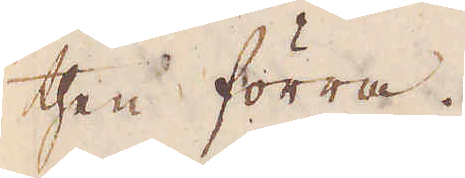then förra.
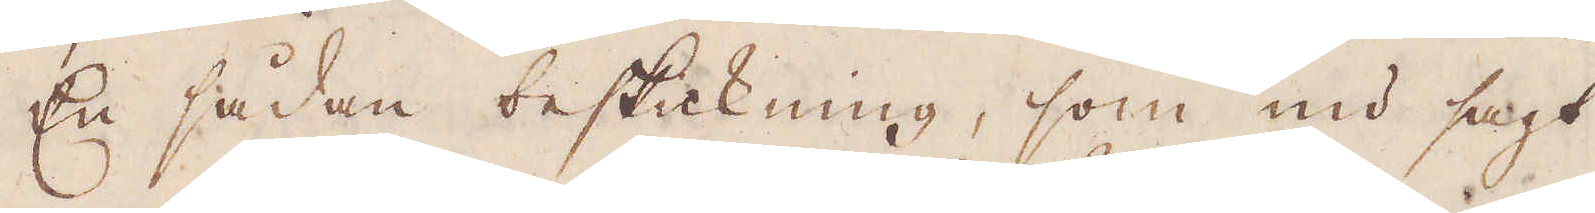En sådan beskickning, som nu sagt
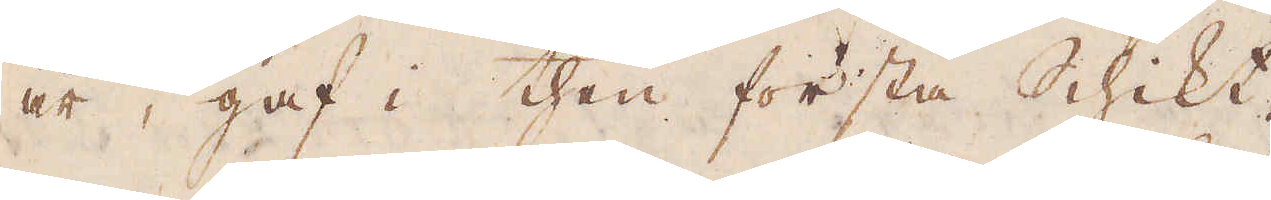är, gaf i then första Schikt
